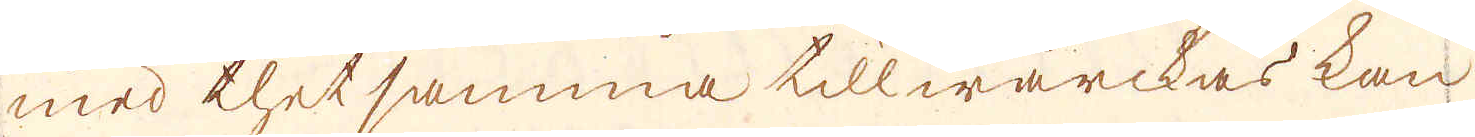med thet samma tillwärckas kan
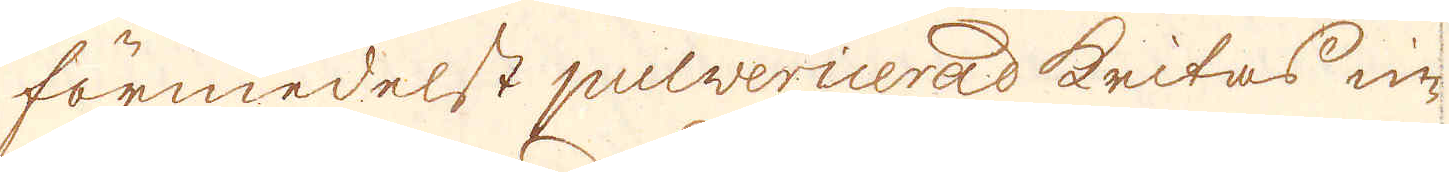förmedelst pulvericerad kritas in-
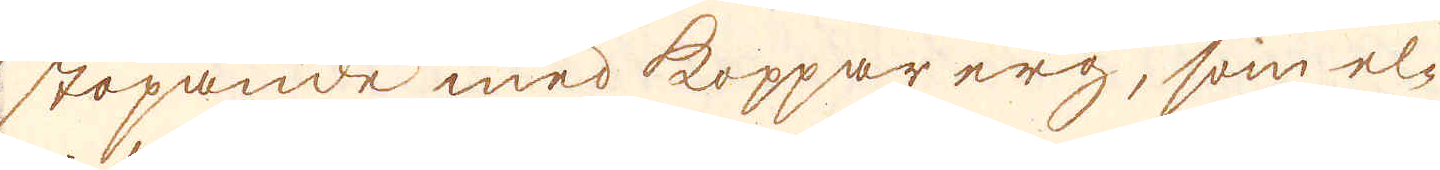stöpande med koppar erg, som el-
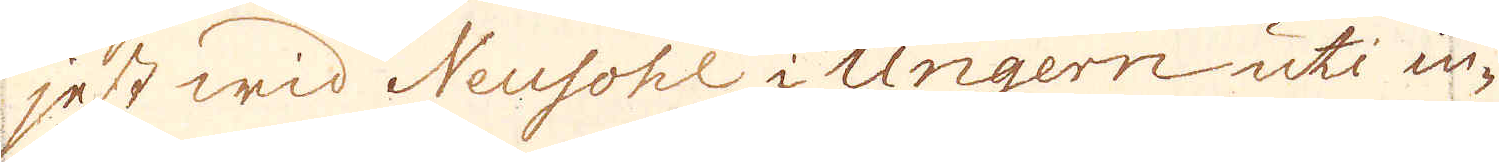jest wid Neusohl i Ungern uti in-
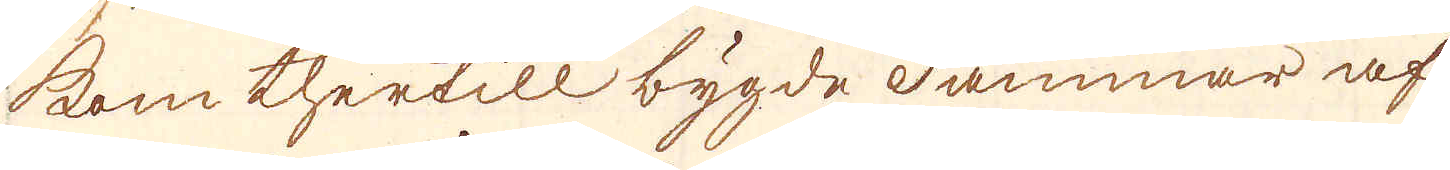kom thertill bygde dammar af
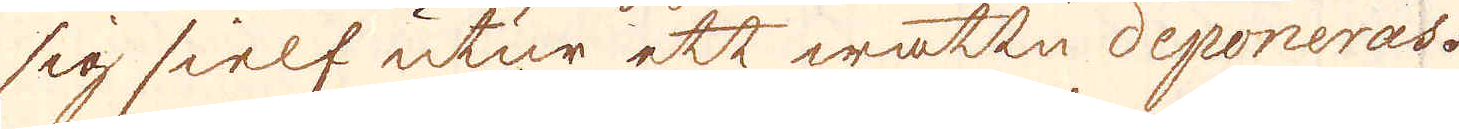sig sielf utur ett wattn deponeras.
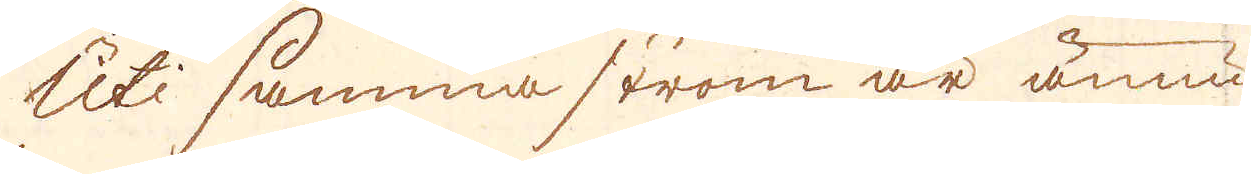Uti samma ström är ännu
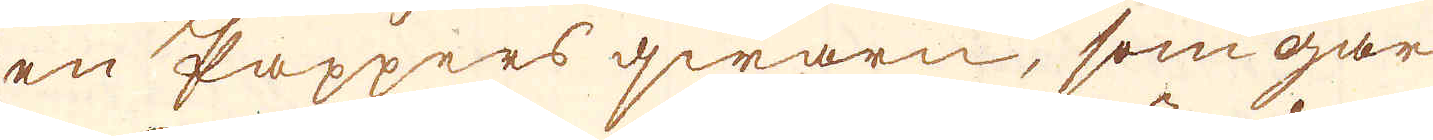en Pappers qwarn, som går
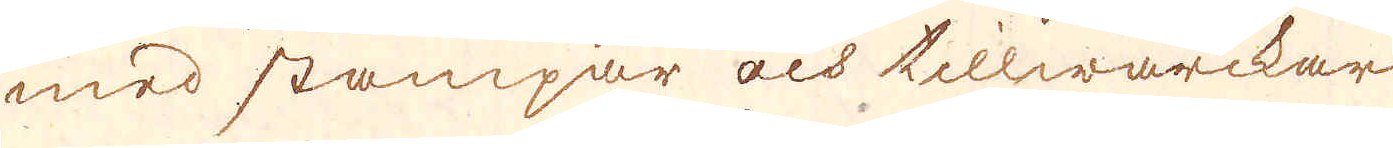med stampar och tillwärckar
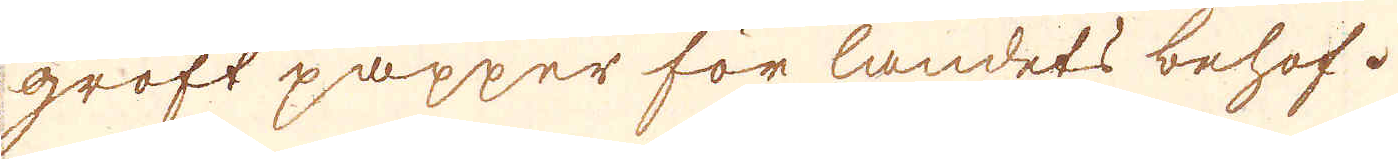groft papper för landets behof.
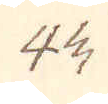44.
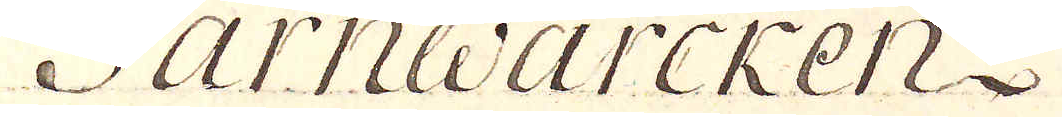Järnwärcken.
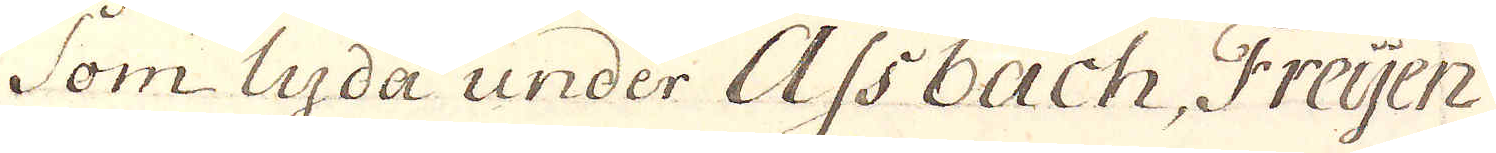som lyda under Assbach, Freyen
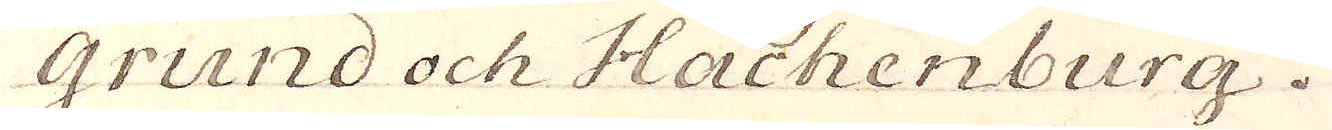grund och Hachenburg.
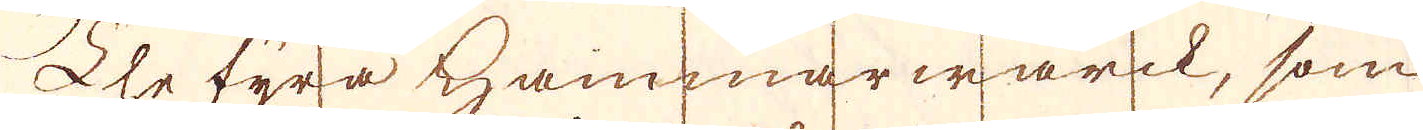The fyra Hammarwärck, som
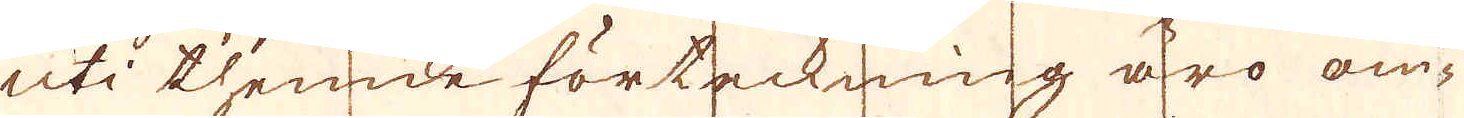uti thenna förteckning äro om-
